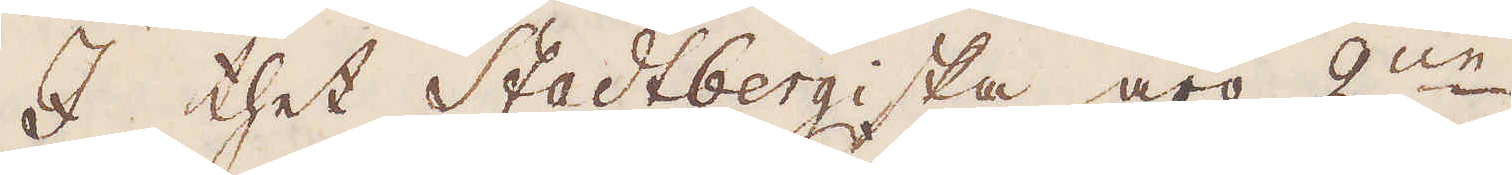I thet Stadtbergiska äro 2:ne
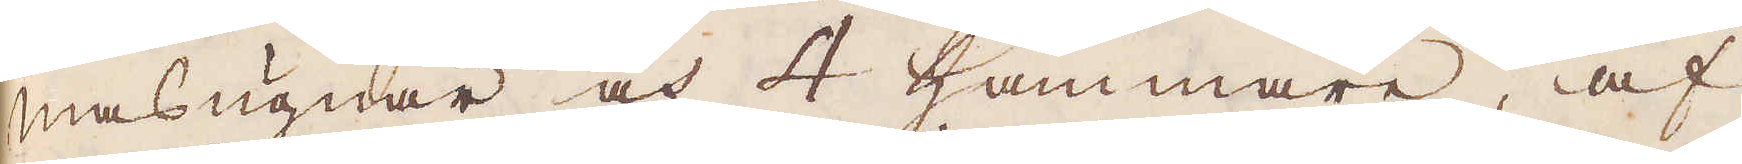masugnar och 4 Hammare, af
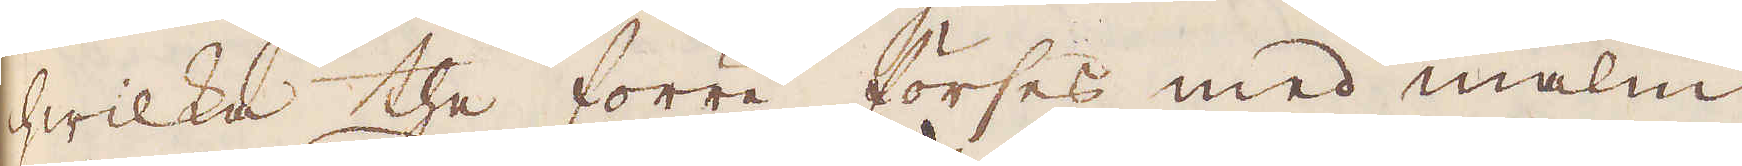hwilka the förre förses med malm
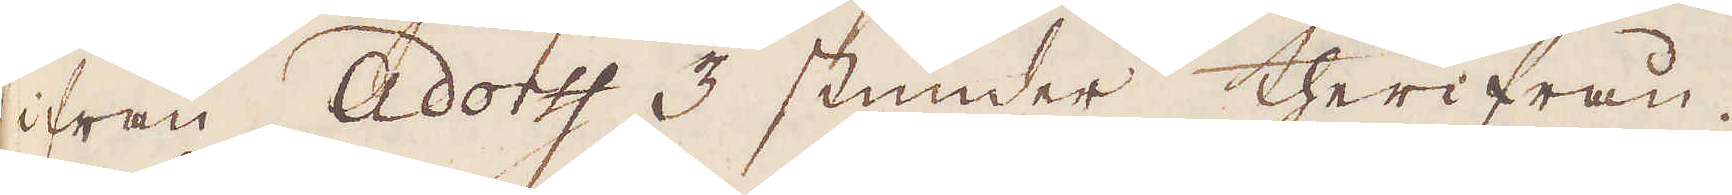ifrån Adortf 3 stunder therifrån.
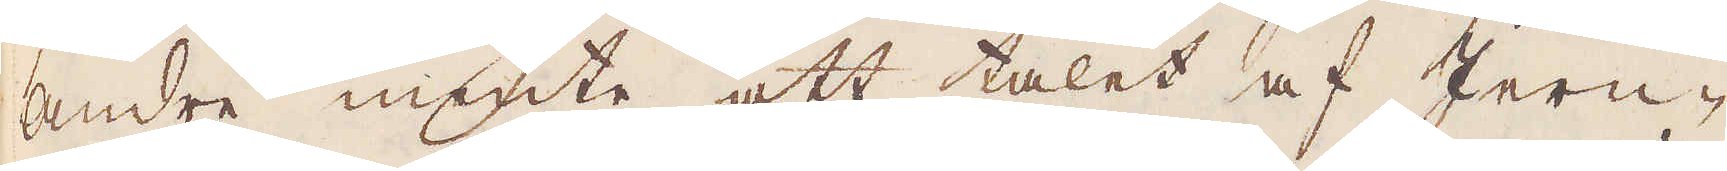Andre mente att talet af Jern-
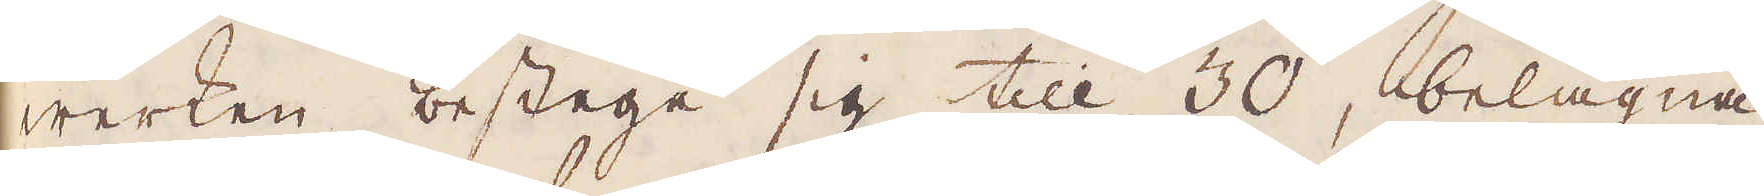werken bestege sig till 30, belägna
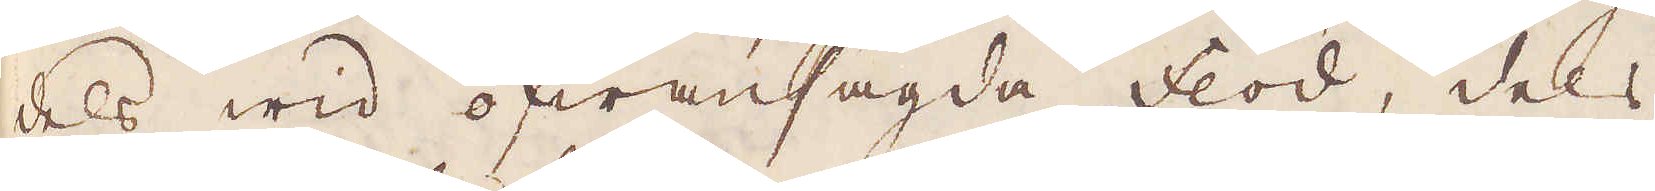dels wid ofwansagda flod, dels
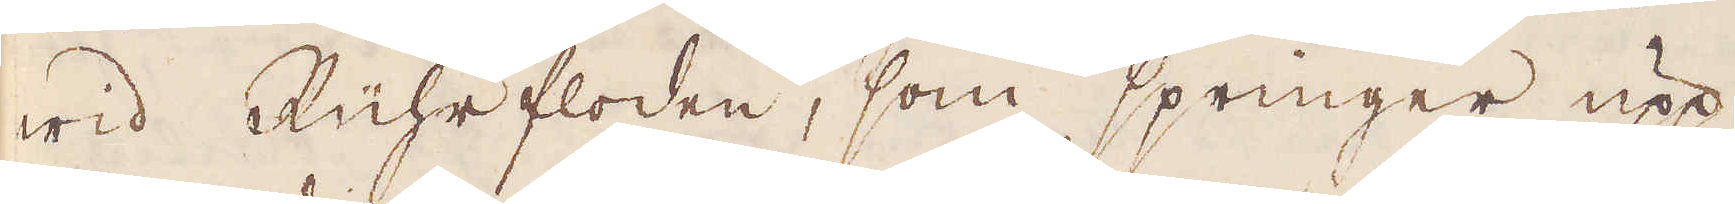wid Rührfloden, som springer upp
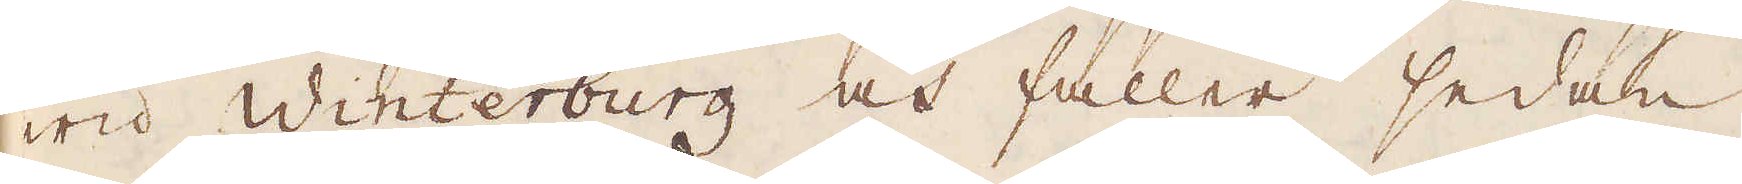wid Winterburg och faller sedan
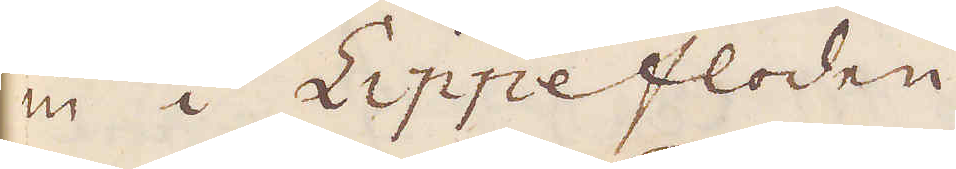in i Lippefloden.
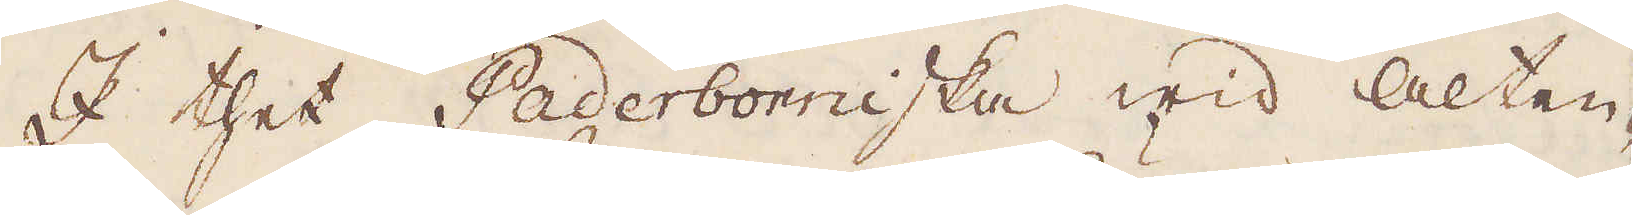I thet Paderborniska wid Alten-
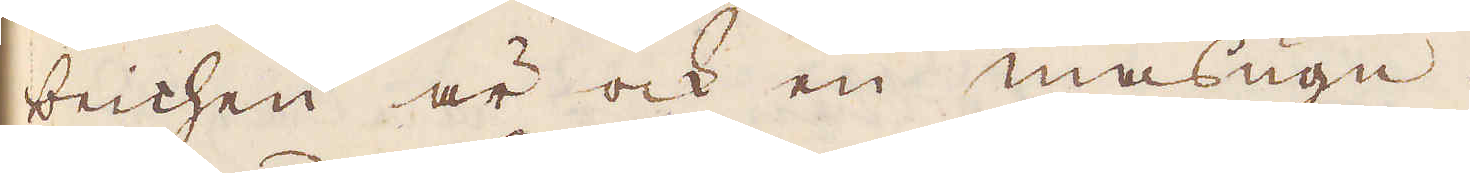beichen är ock en masugn,
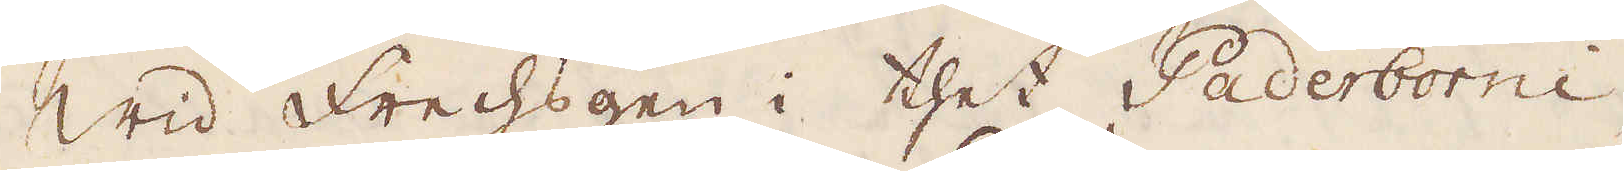Wid Frechsgen i thet Paderborni-
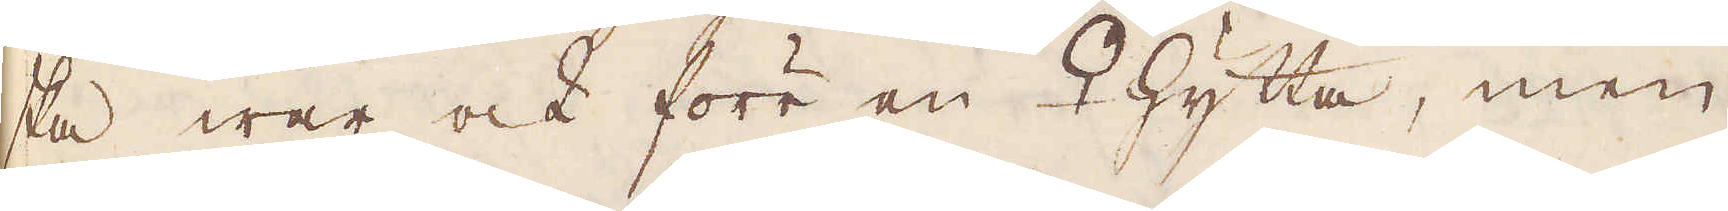ska war ock förr en ♀ hytta, men
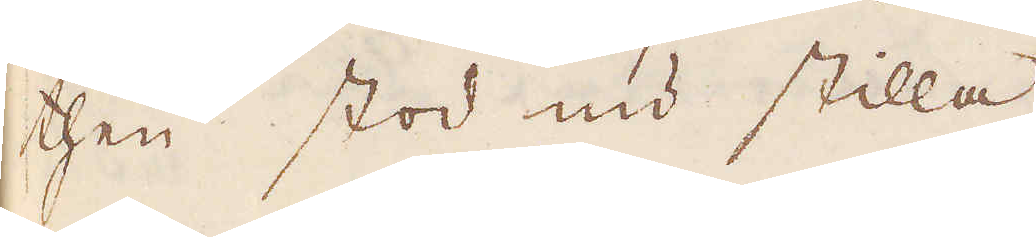then stod nu stilla.
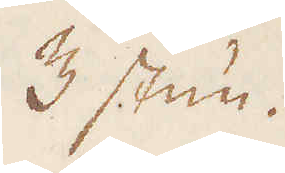3 stun-
